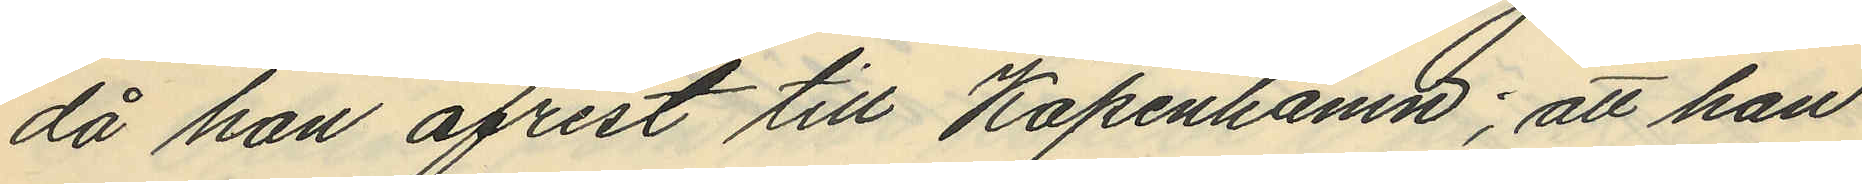då han afrest till Köpenhamn; att han
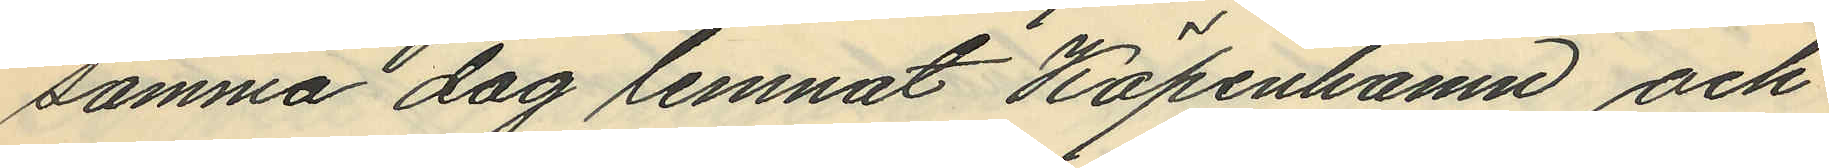samma dag lemnat Köpenhamn och
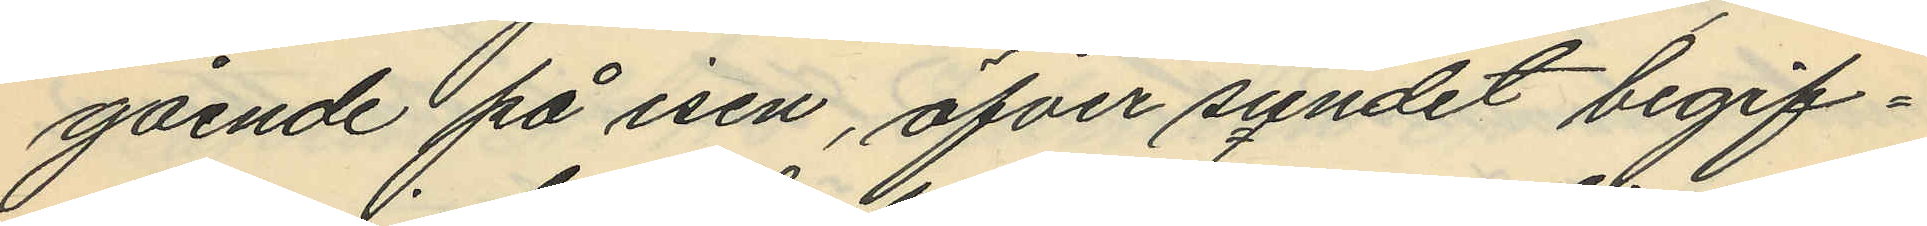gående på isen, öfver sundet begif¬
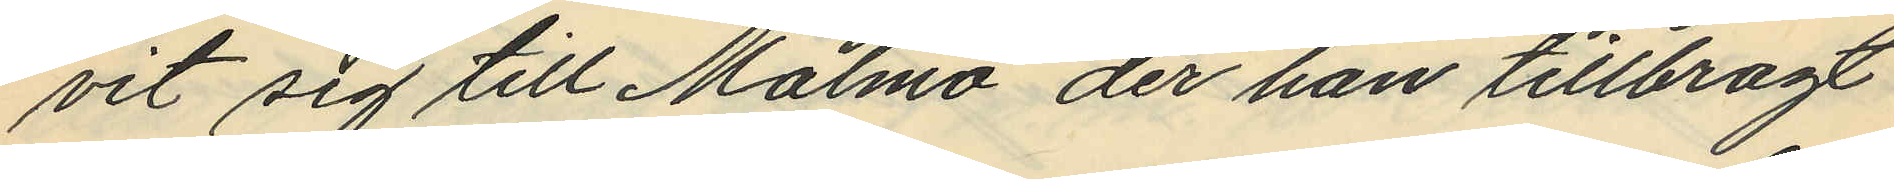vit sig till Malmö, der han tillbragt
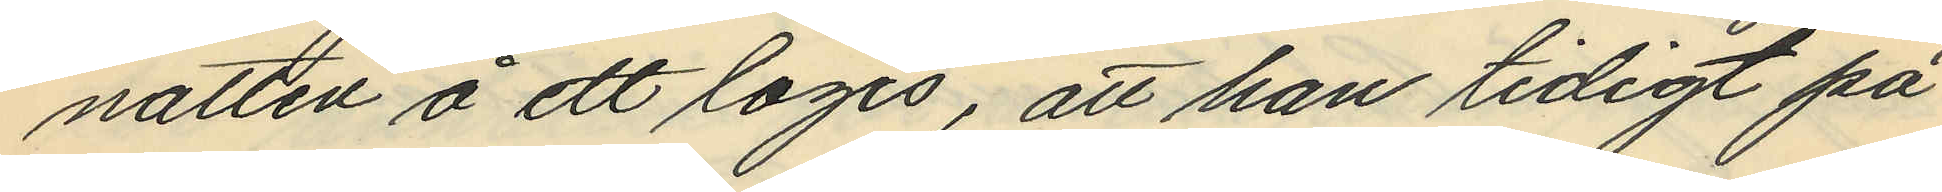natten å ett logis, att han tidigt på
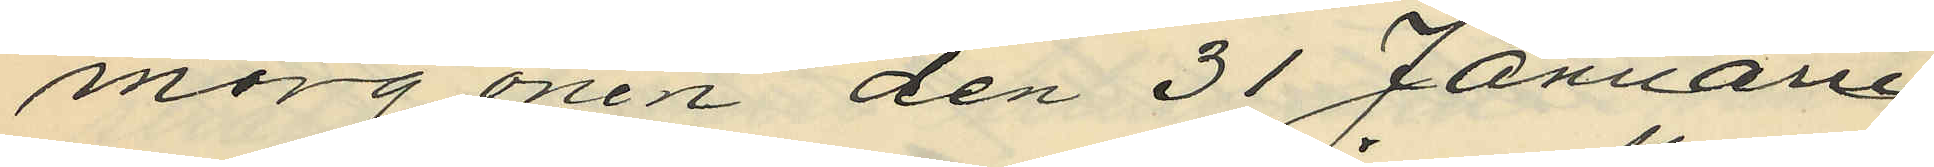morgonen den 31 Januari
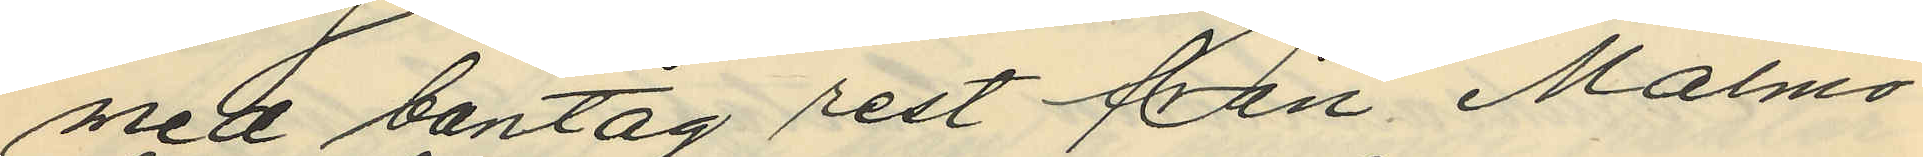med bantåg rest från Malmö
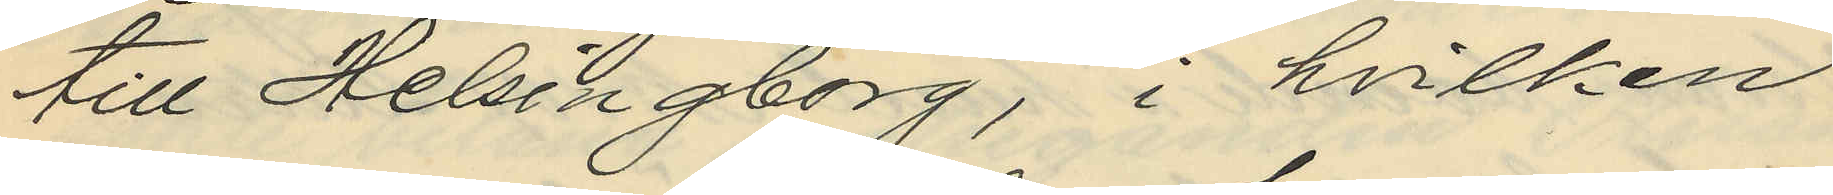till Helsingborg, i hvilken
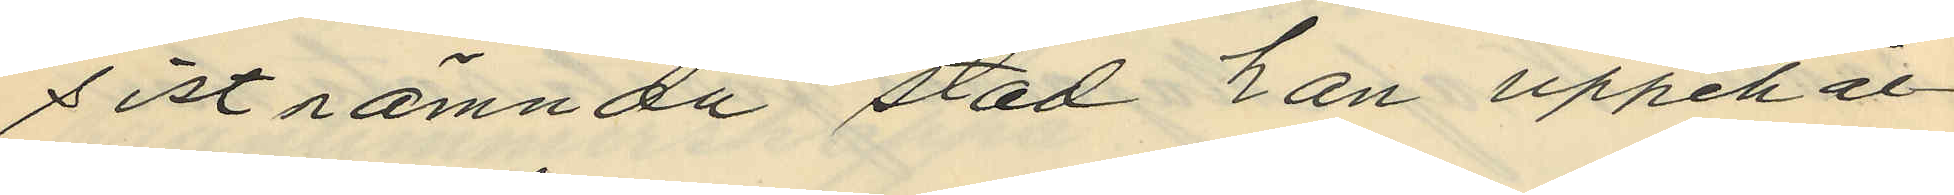sistnämnda stad kan uppehål¬
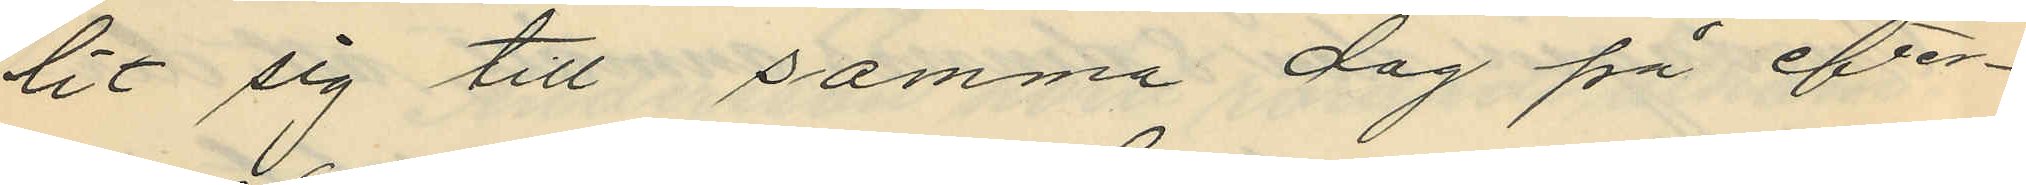lit sig till samma dag på efter¬
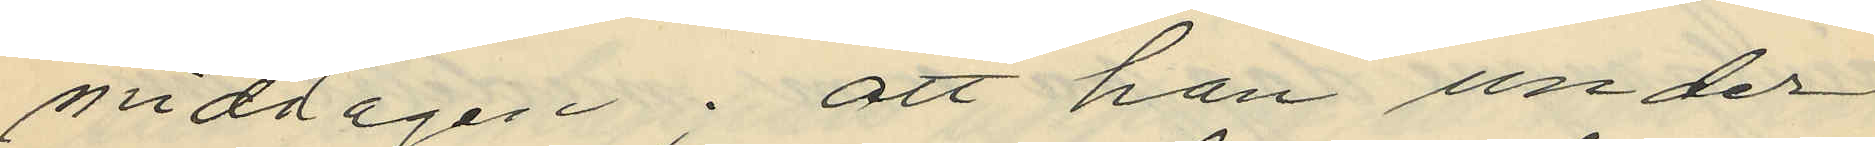middagen; att han under
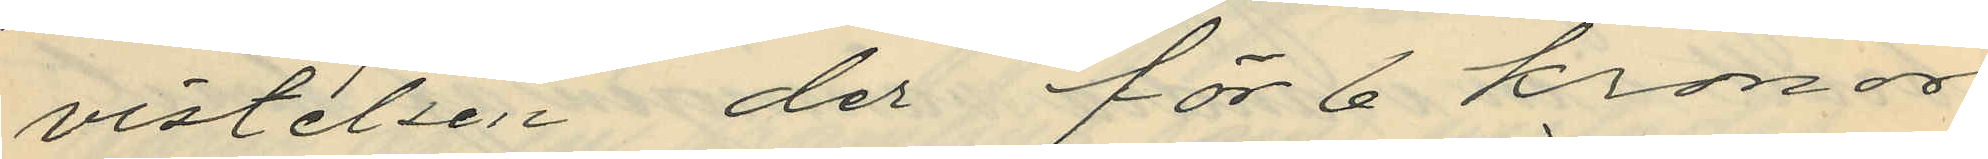vistelsen der för 6 kronor
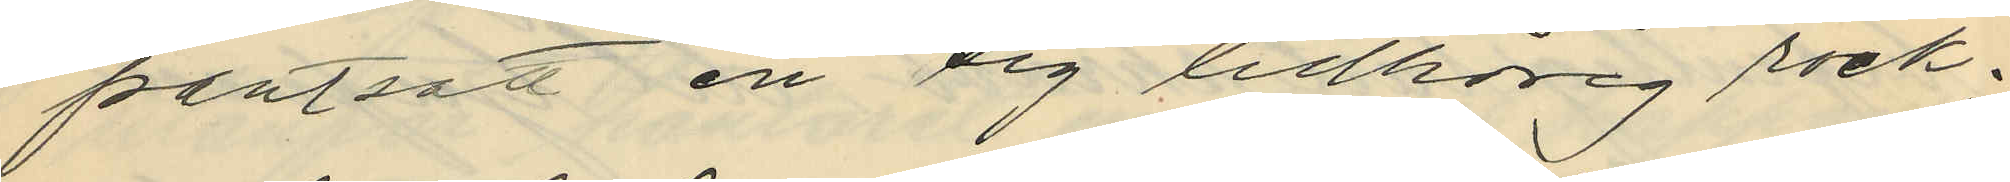pantsatt en sig tillhörig rock;
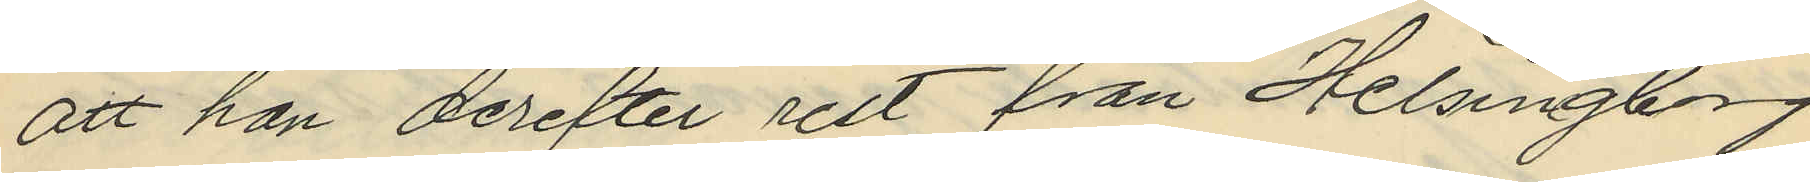att han derefter rest från Helsingborg
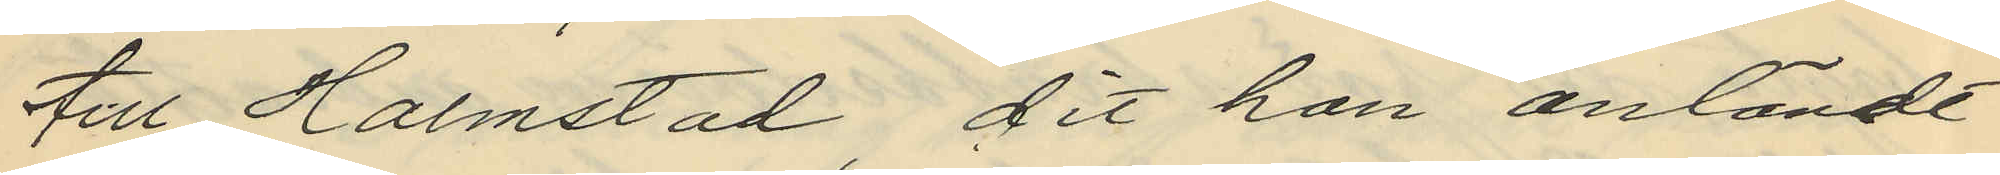till Halmstad, dit han anlände
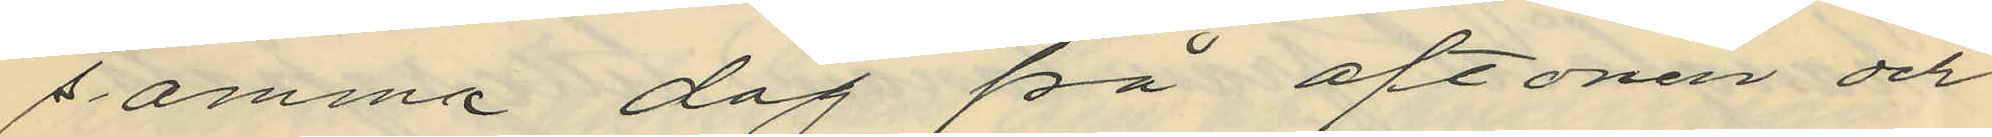samma dag på aftonen och
